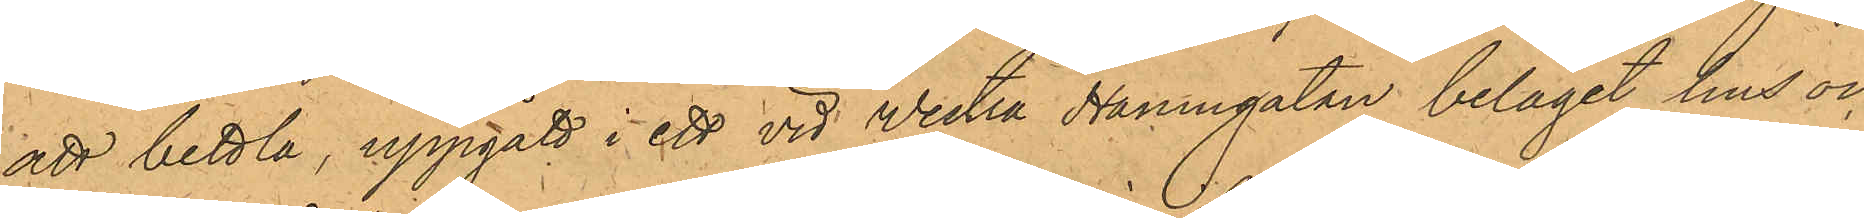att bettla, uppgått i ett vid Vestra Hamngatan beläget hus och
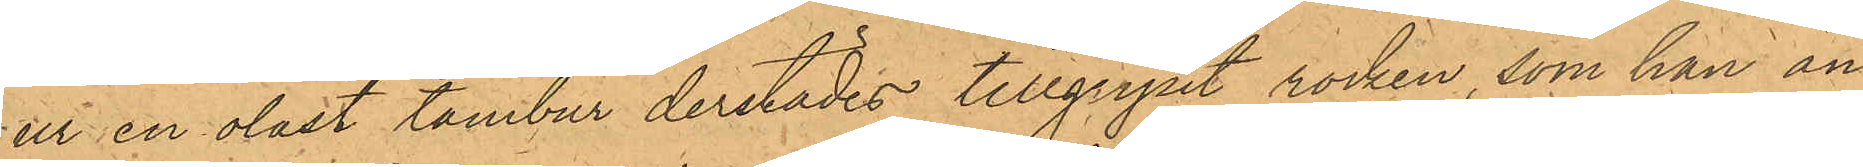ur en olåst tambur derstädes tillgripit rocken, som han äm¬
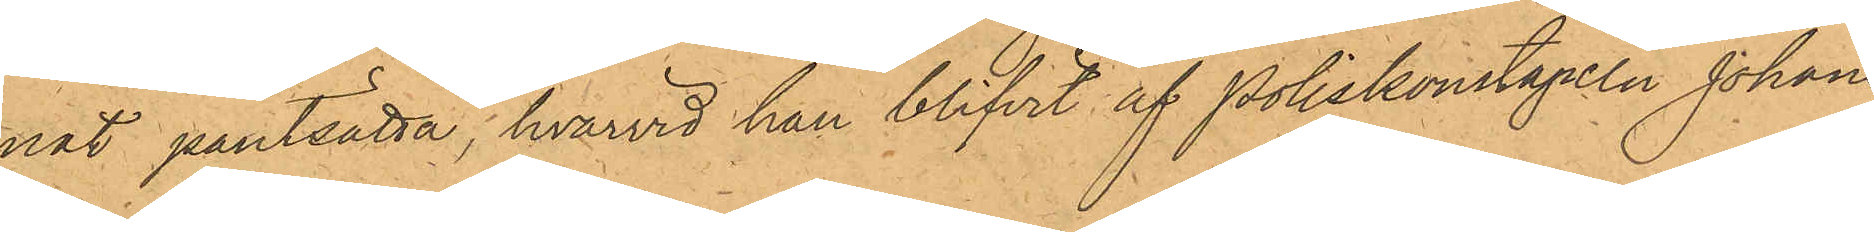nat pantsatta; hvarvid han blifvit af Poliskonstapeln Johans¬
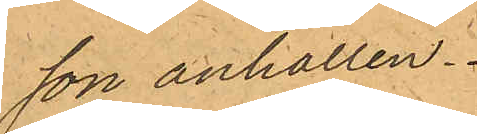son anhållen.
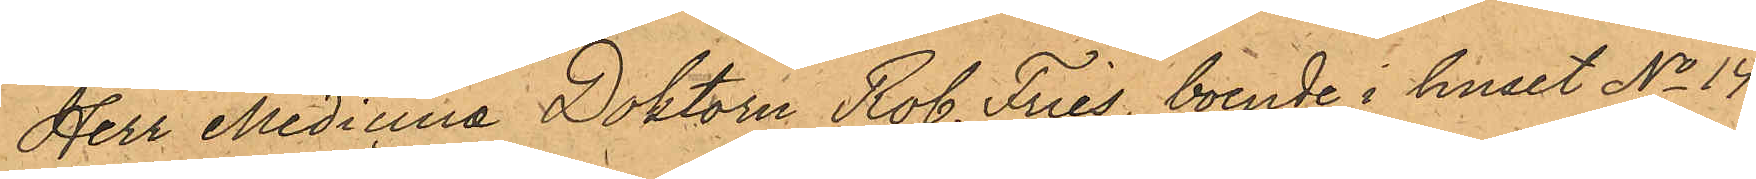Herr Medicine Doktorn Rob. Fries, boende i huset No 14
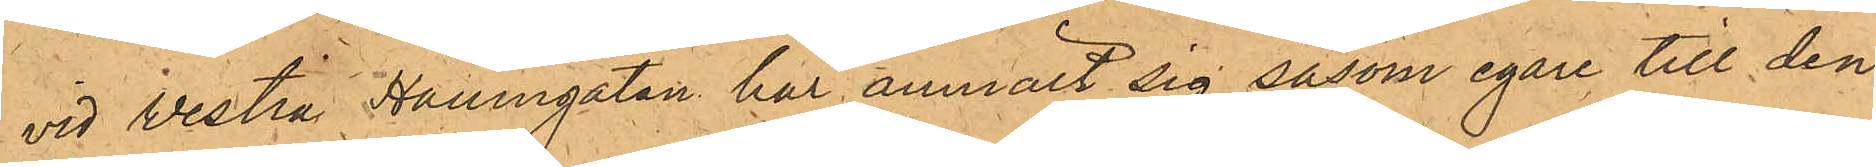vid Vestra Hamngatan har anmält sig såsom egare till den
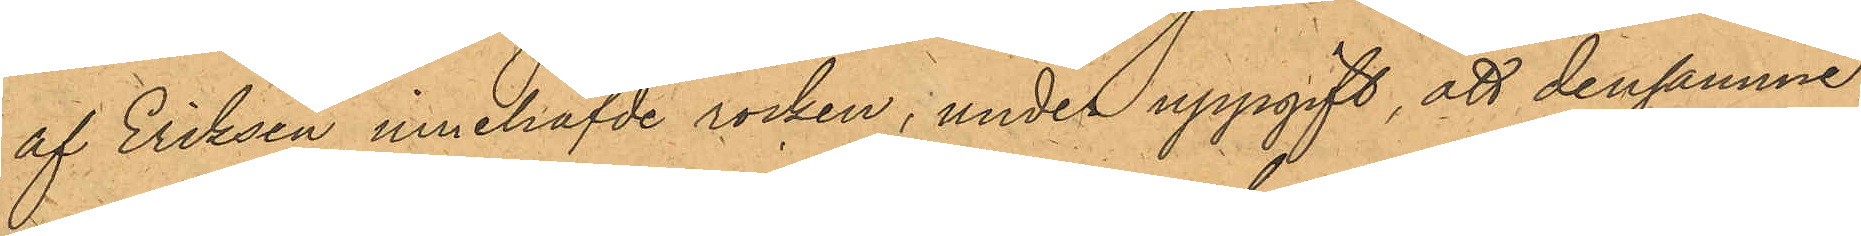af Eriksen innehafvde rocken; under uppgift, att densamme,
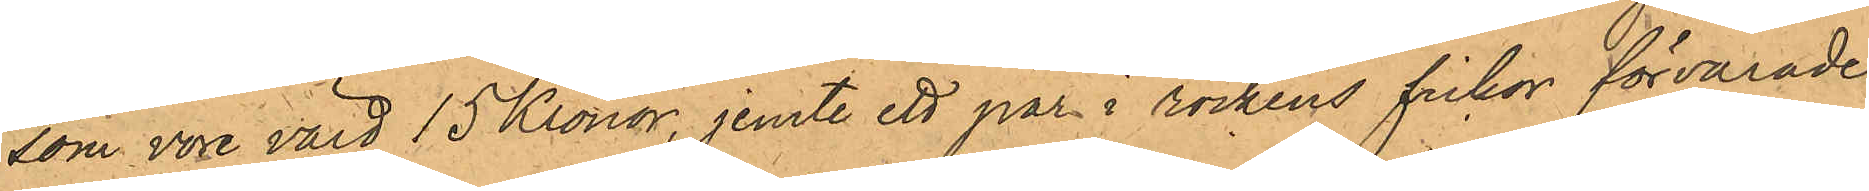som vore värd 15 Kronor, jemte ett par i rockens fickor förvarade
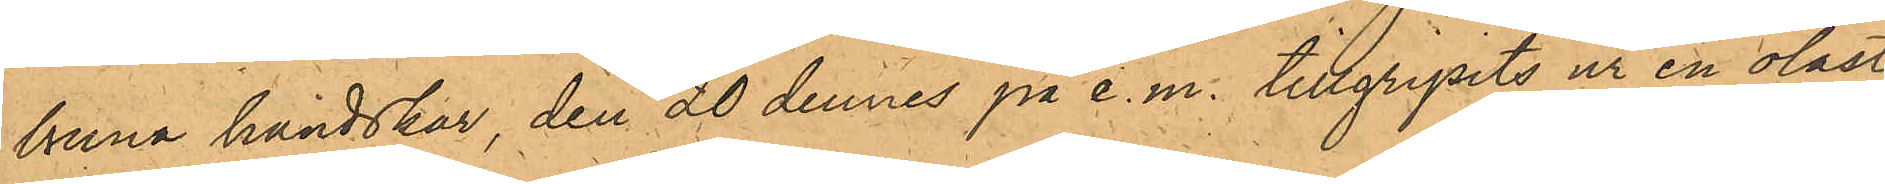bruna handskar, den 20 dennes på e. m. tillgripits ur en olåst
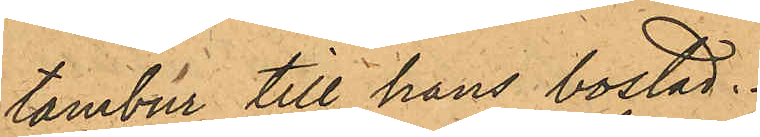tambur till hans bostad.
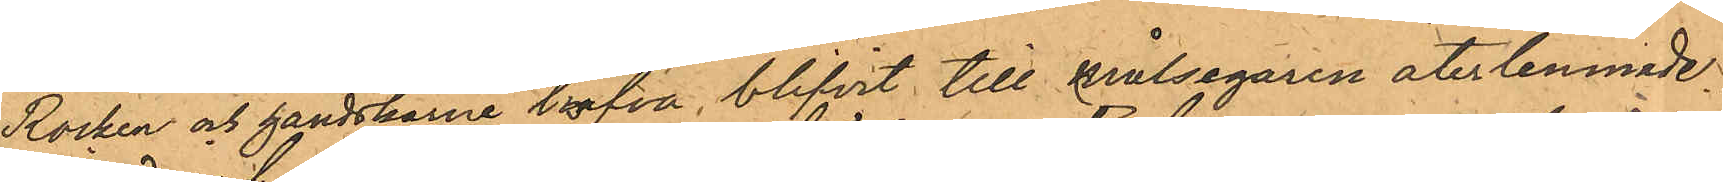Rocken och handskarne hafva, blifvit till Målsegaren återlemnade.
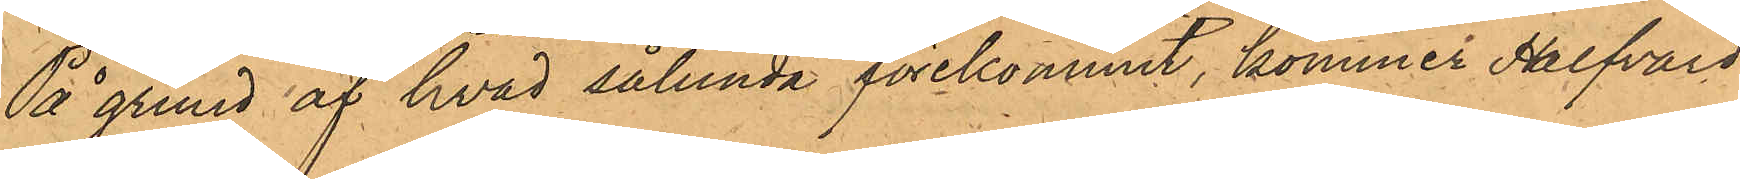På grund af hvad sålunda förekommit, kommer Halfvard
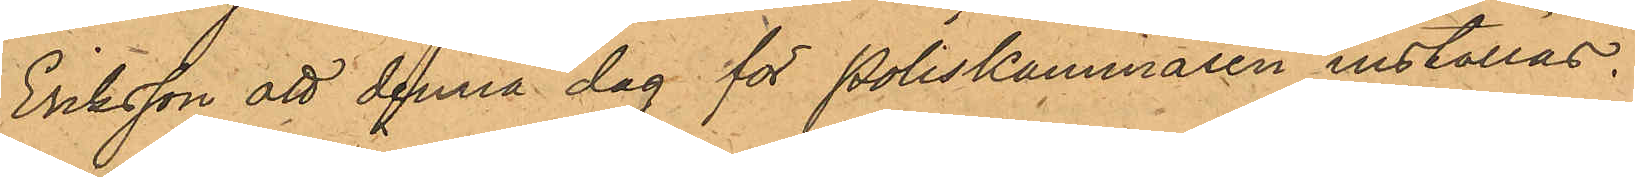Eriksson att denna dag för Poliskammaren inställas.
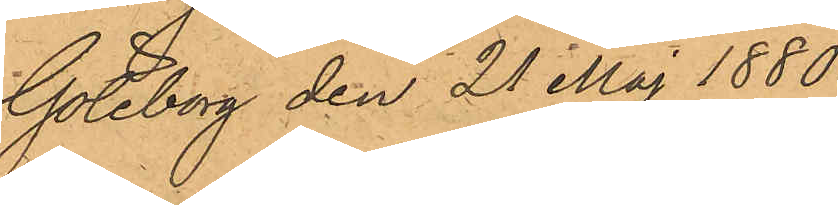Göteborg den 21 Maj 1880.
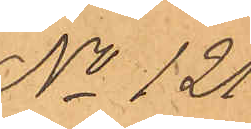No 121.
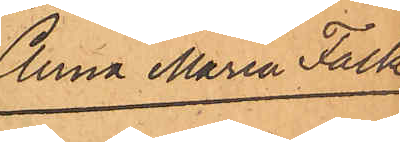Anna Maria Falk
